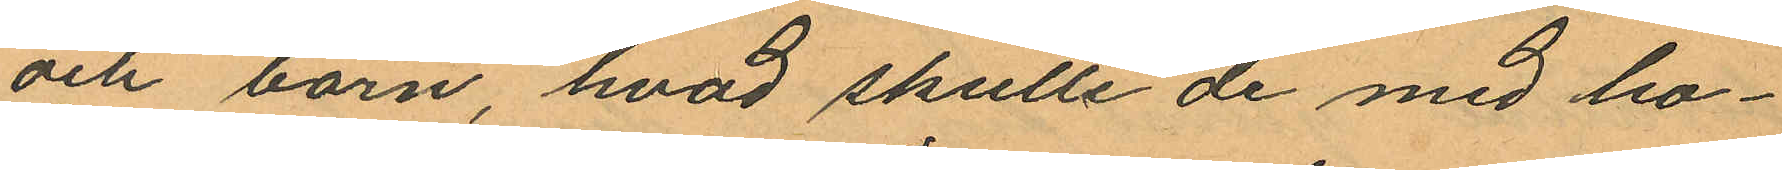och barn, hvad skulle de med ho¬
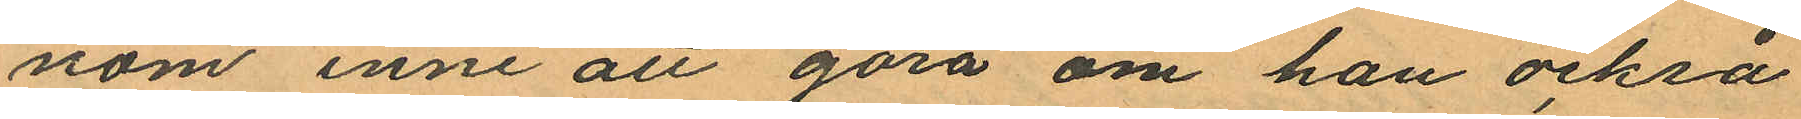nom inne att göra om han också
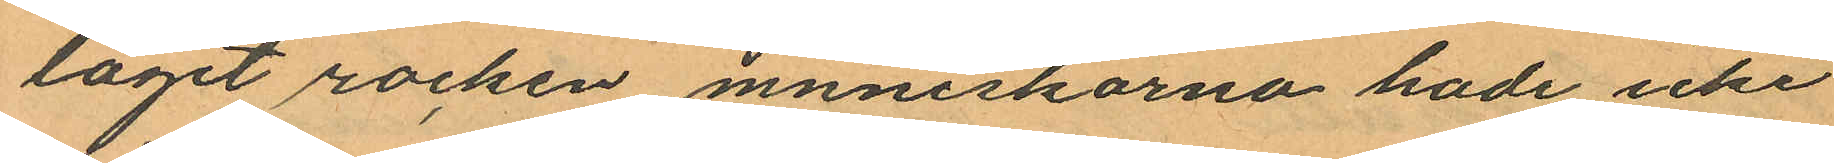tagit rocken menniskorna hade icke
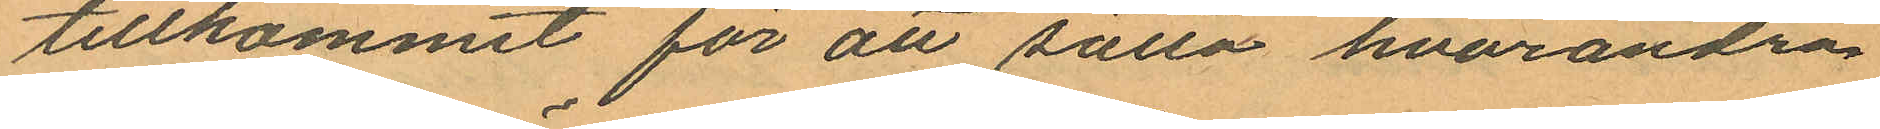tillkommit för att sätta hvarandra
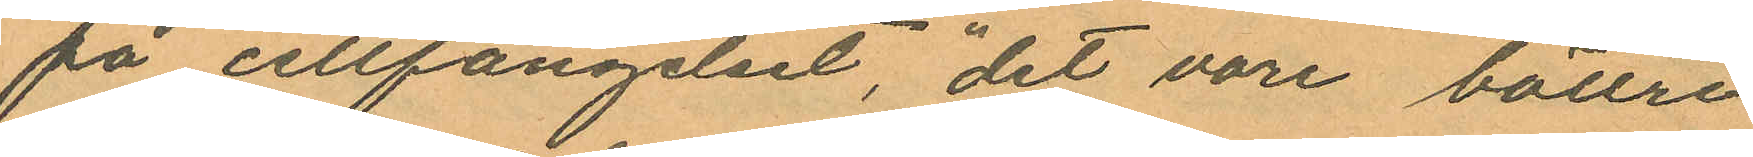på cellfängelset, "det vore bättre
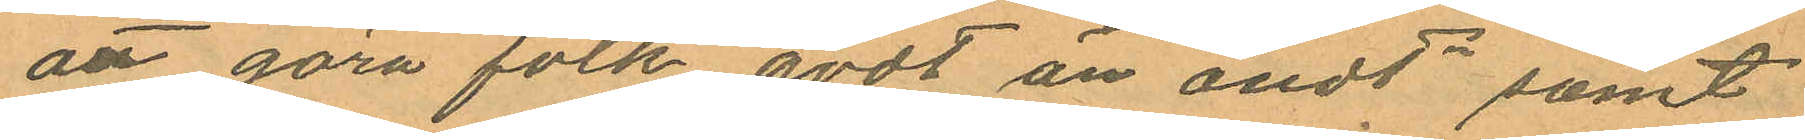att göra folk godt än ondt" samt
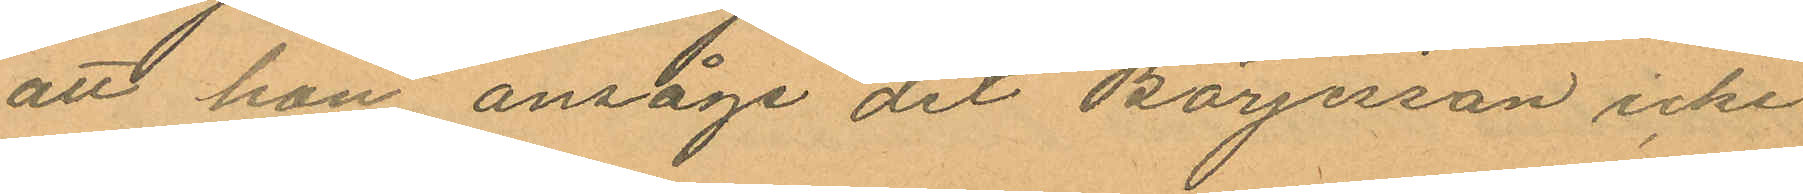att han ansåge det Börjesson icke
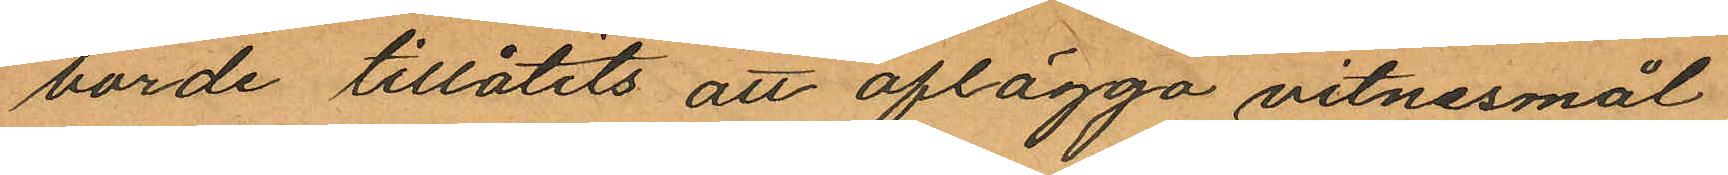borde tillåtits att aflägga vitnesmål
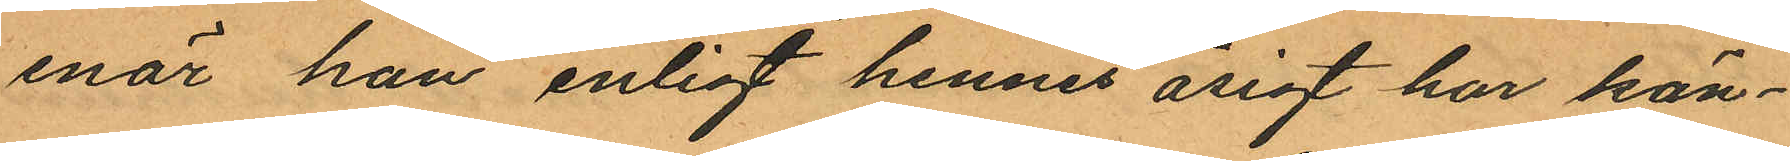enär han enligt hennes åsigt har kän¬
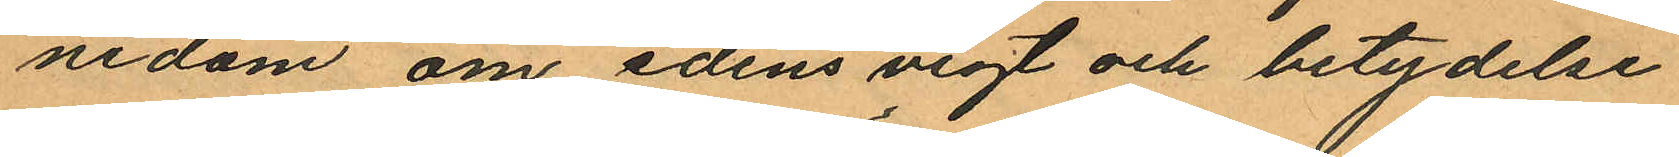nedom om edens vigt och betydelse
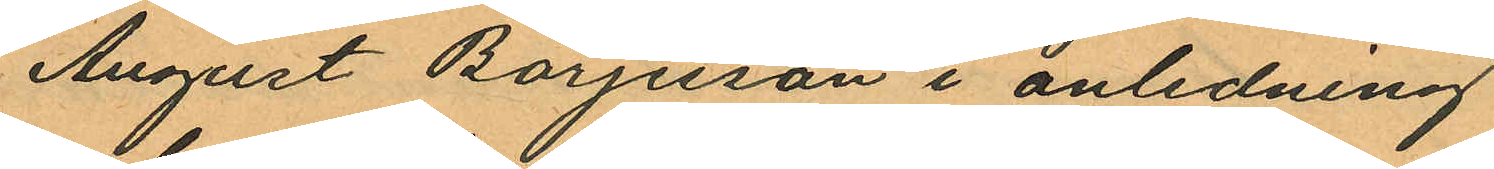August Börjesson i anledning
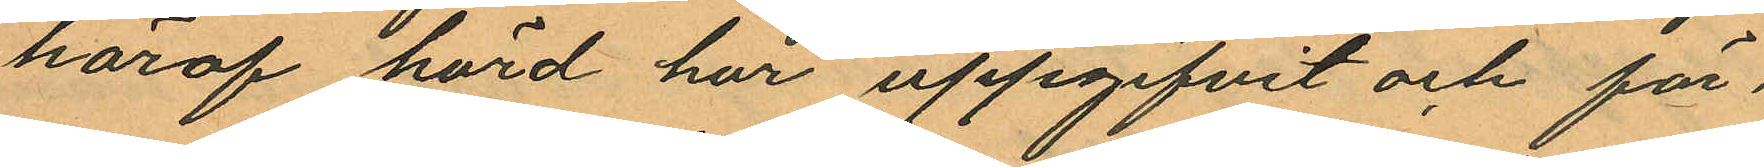häraf hörd har uppgifvit och för¬
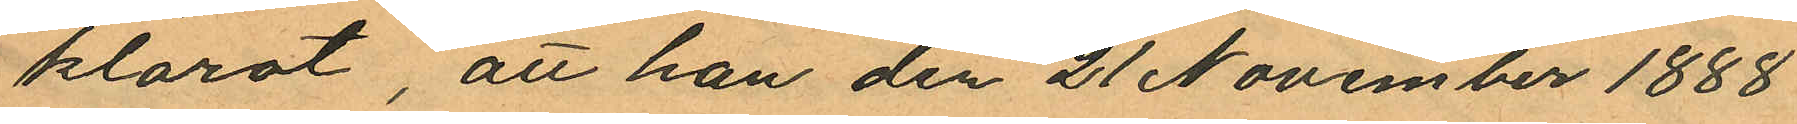klarat, att han den 21 November 1888
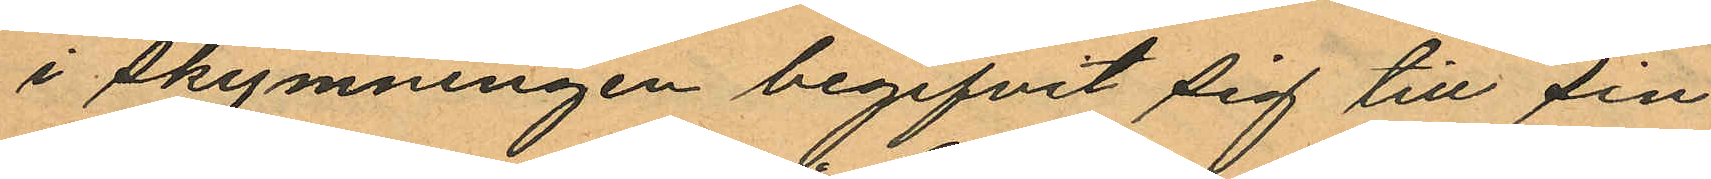i skymningen begifvit sig till sin
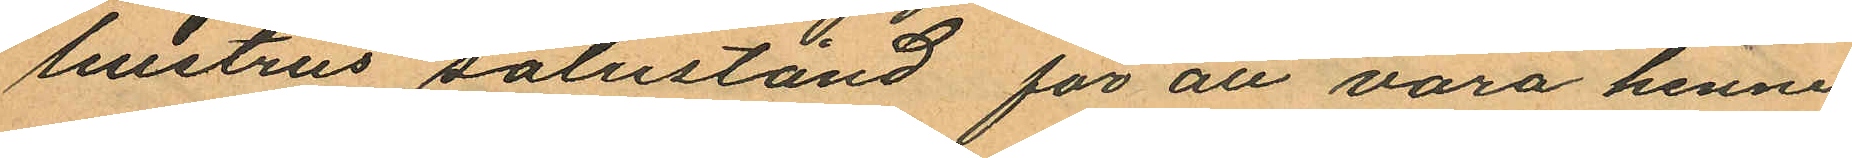hustrus salustånd för att vara henne
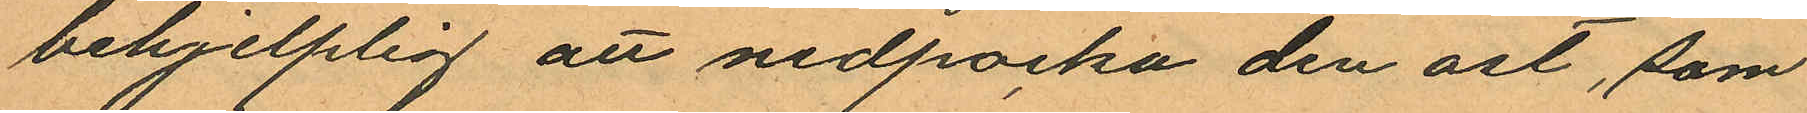behjelplig att nedpocka den ost, som
